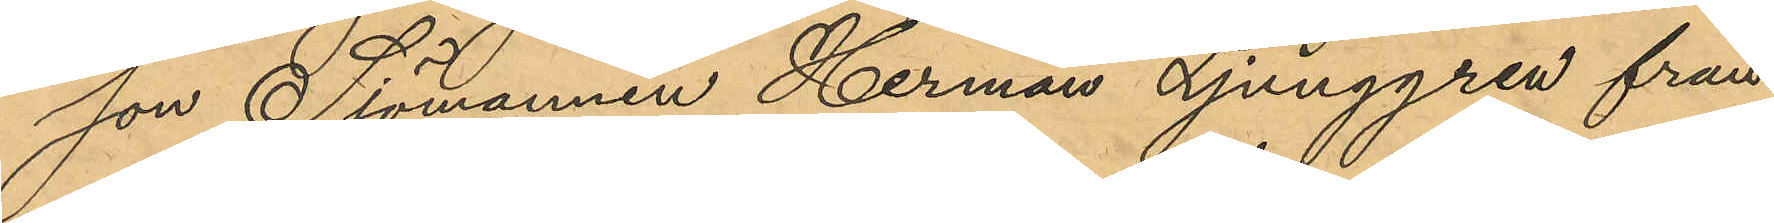son Sjömannen Herman Ljunggren från
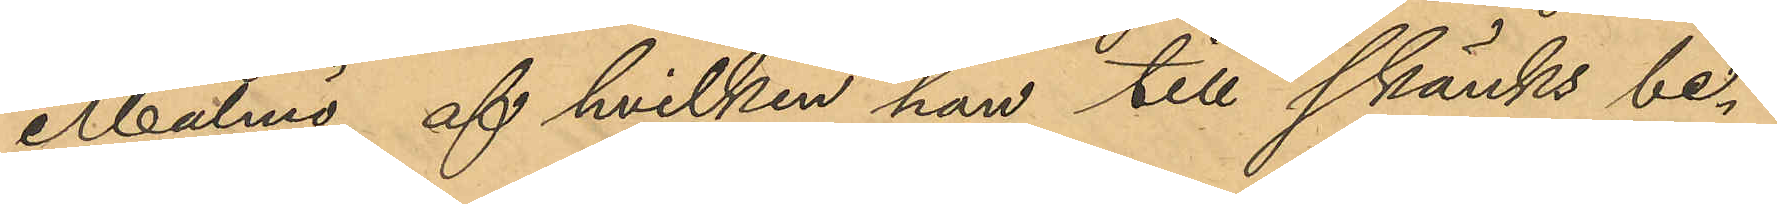Malmö, af hvilken han till skänks be¬
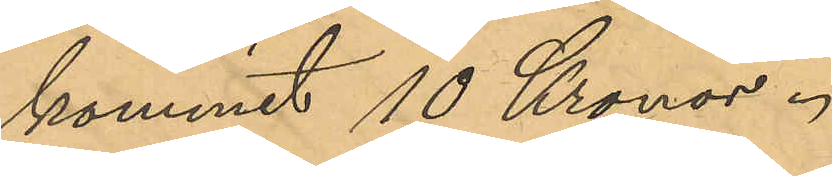kommit 10 Kronor.
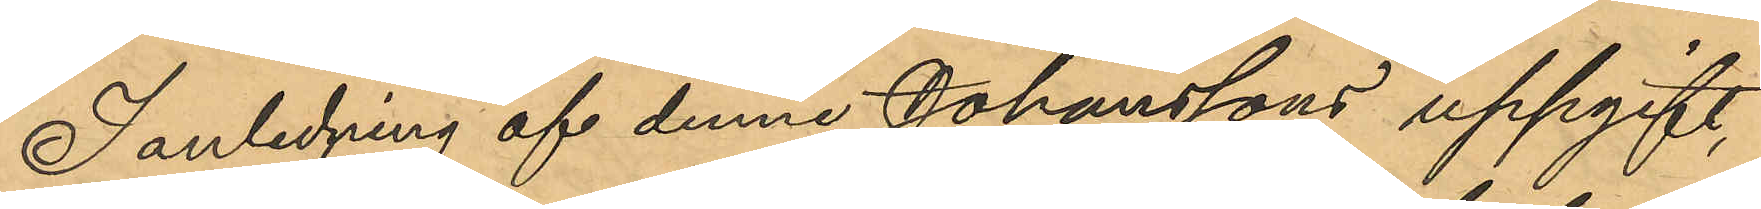I anledning af denne Johanssons uppgift,
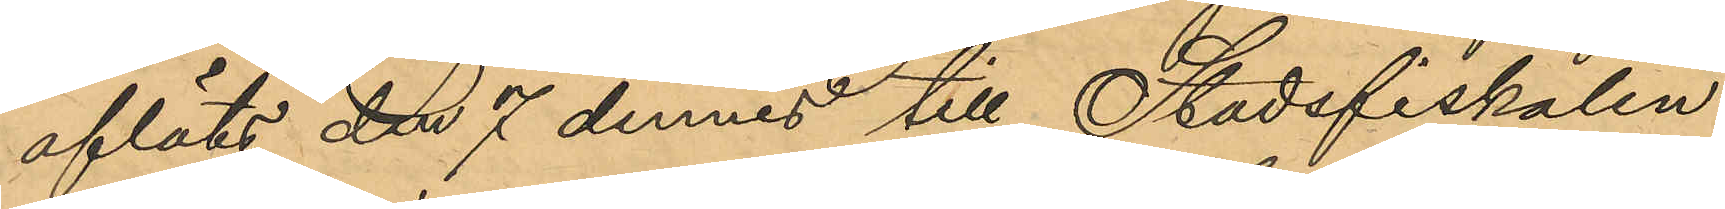afläts den 7 dennes till Stadsfiskalen
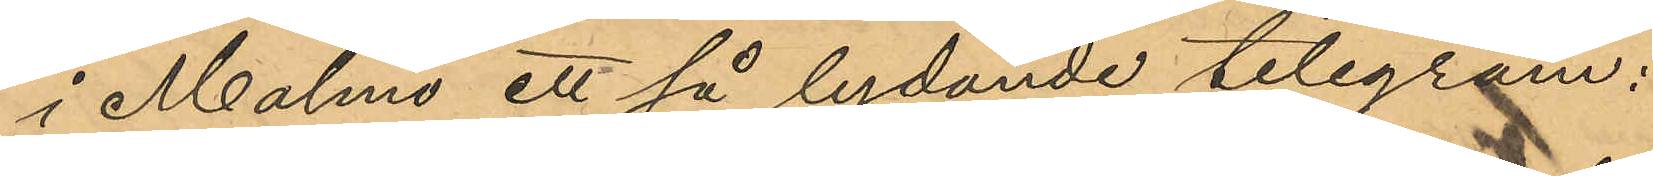i Malmö ett så lydande telegram:
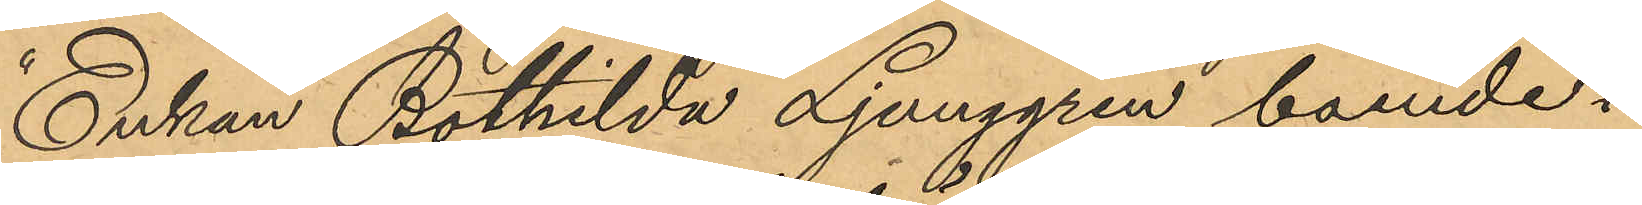"Enkan Bothilda Ljunggren, boende i
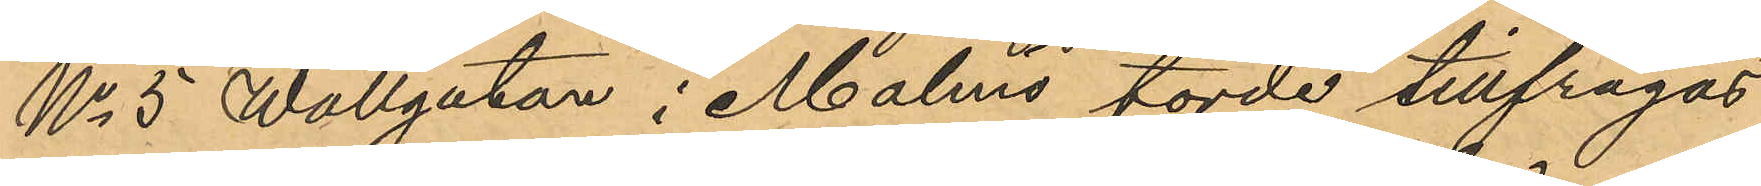No 5 Wallgatan i Malmö torde tillfrågas
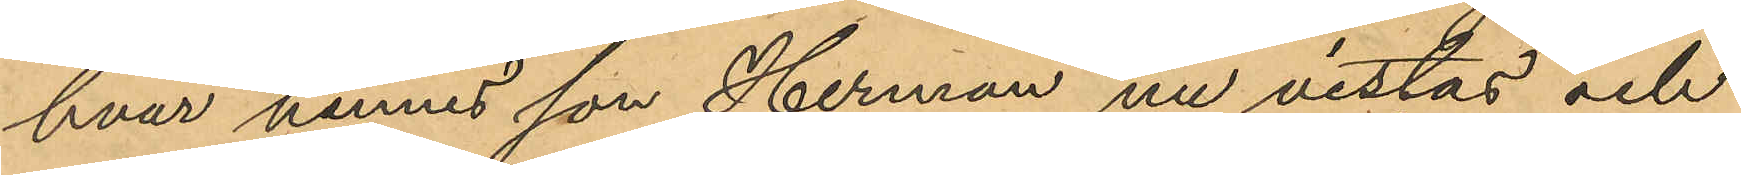hvar hennes son Herman nu vistas och
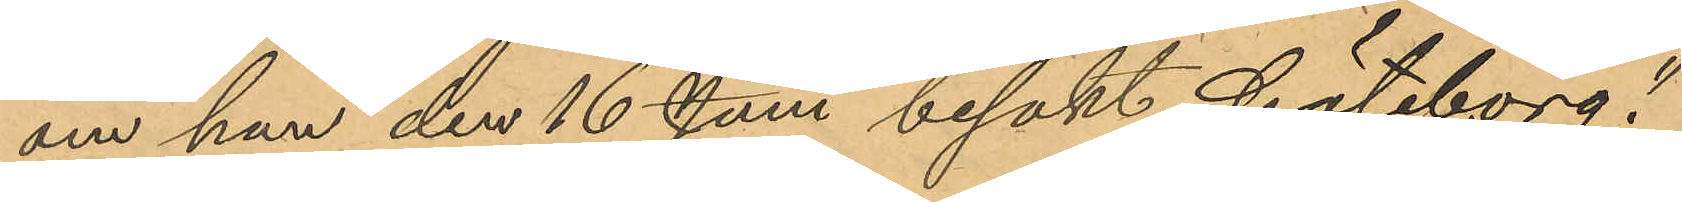om han den 16 Juni besökt Göteborg."
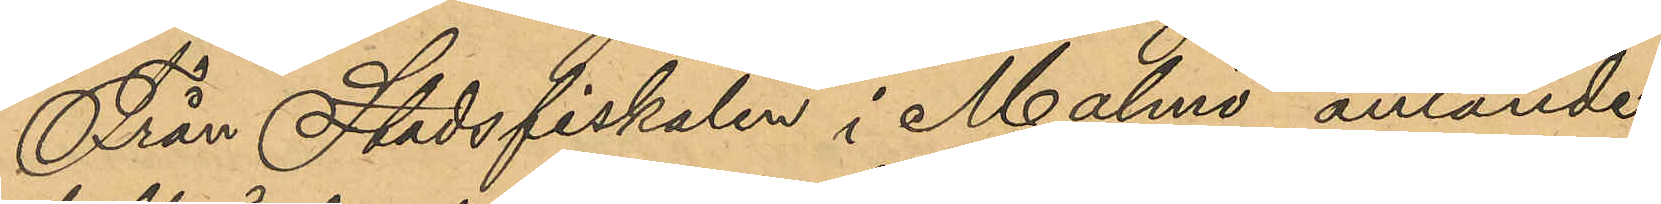Från Stadsfiskalen i Malmö anlände
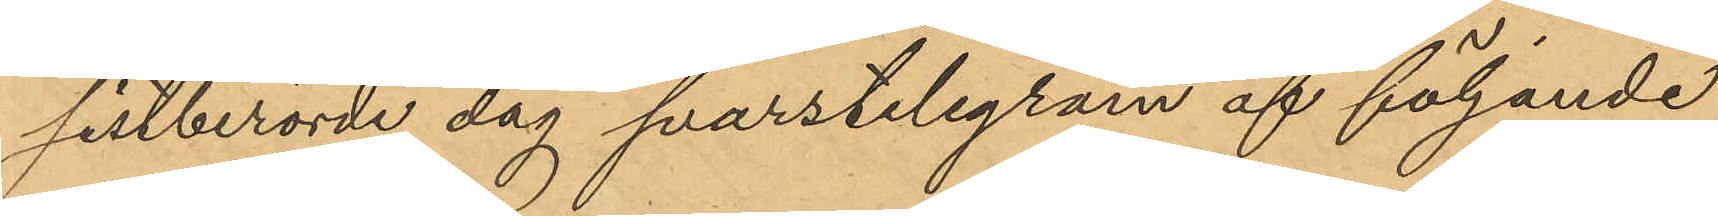sistberörde dag svarstelegram af följande
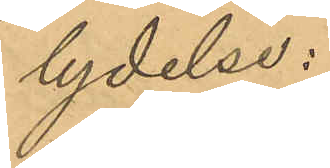lydelse:
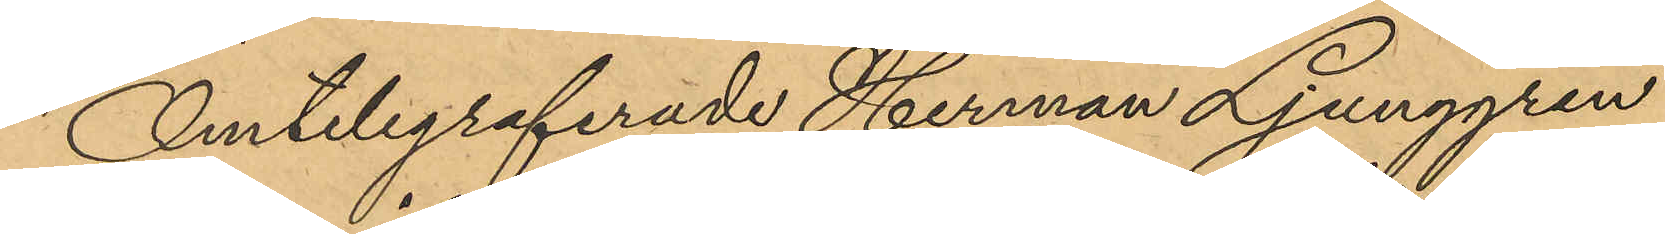"Omtelegraferade Herman Ljunggren
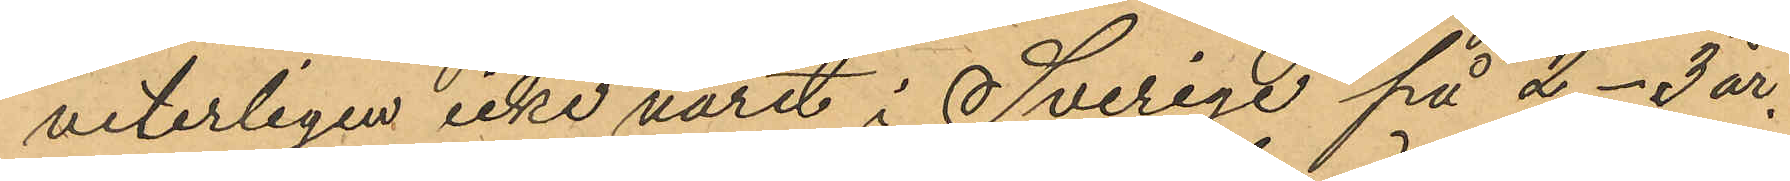veterligen icke varit i Sverige på 2-3 år.
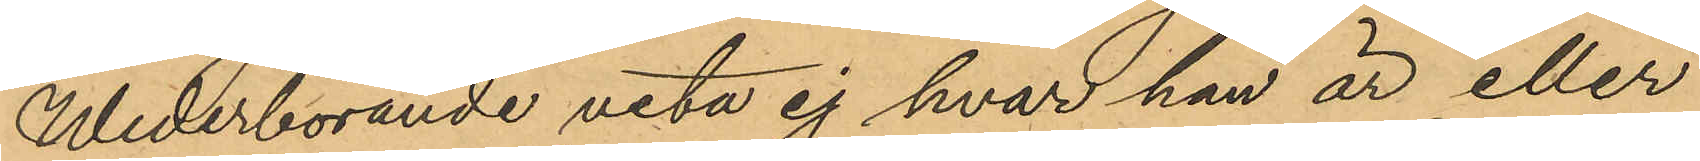Wederbörande veta ej hvar han är eller
